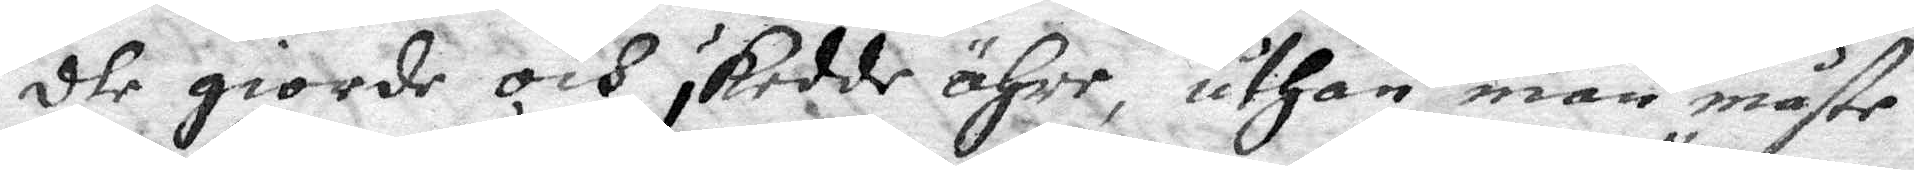dhe giorde och skedde ähre, uthan man måster
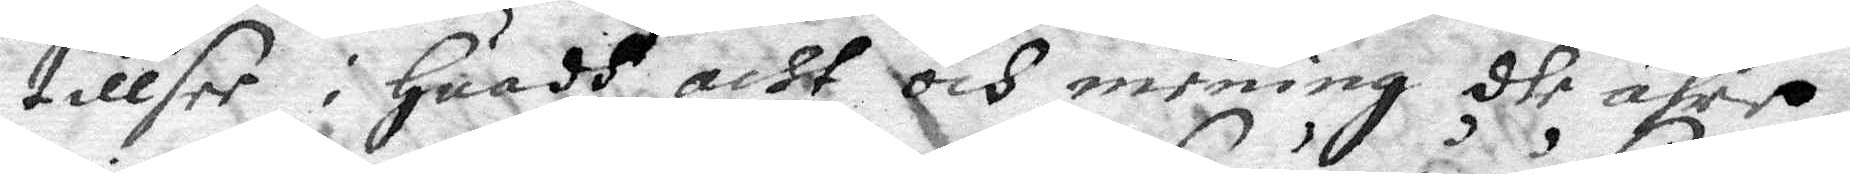tillsee i huadh acht och mening dhe ähre
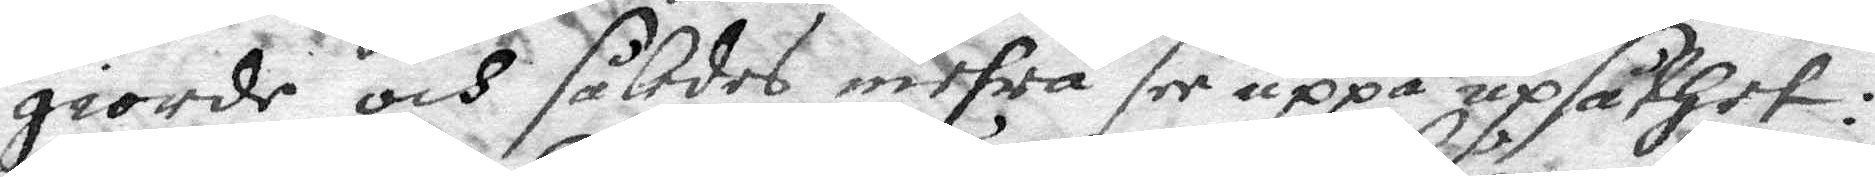giorde och således mehra see uppå upsåthet:
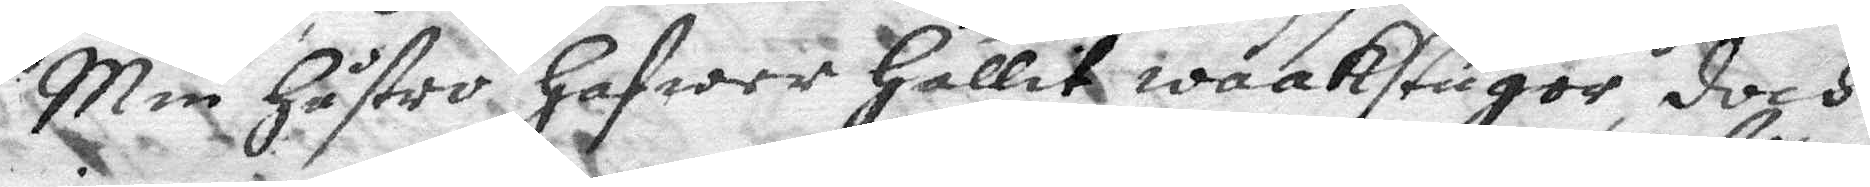Min hustro hafwer hållit waakstugor, doch
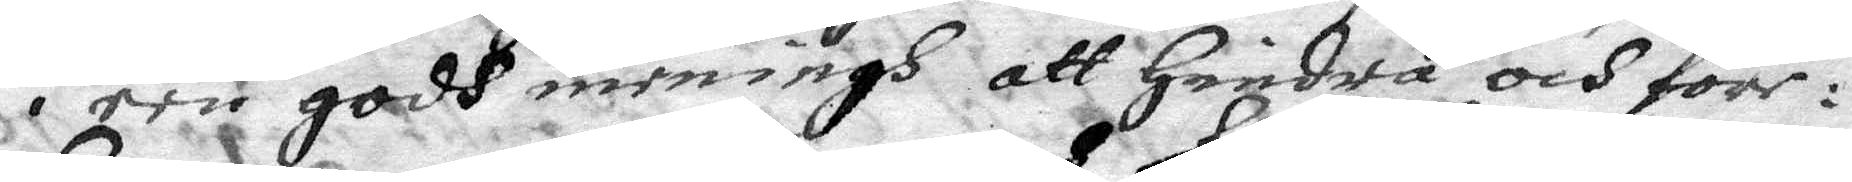i een godh meningh att hindra och före¬
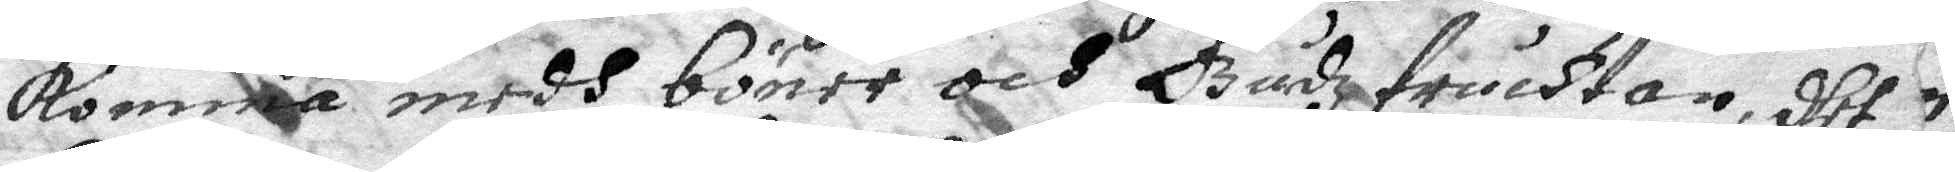komma medh böner och Gudzfruchtan, dhet
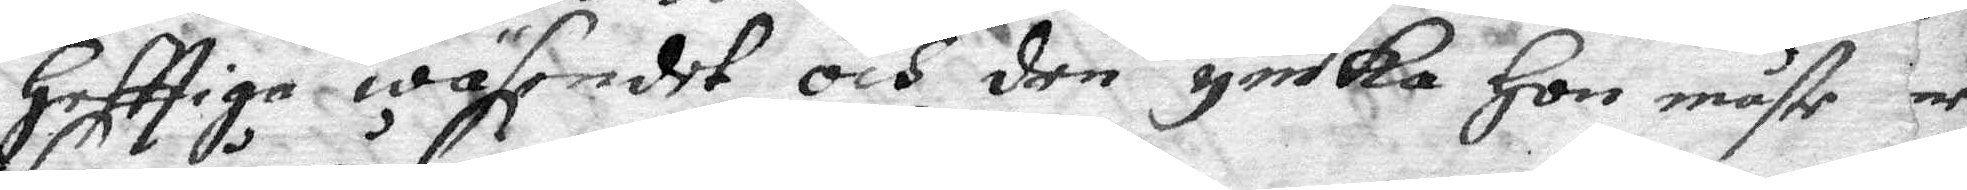hefttiga wäsendet och den ymka hon måste
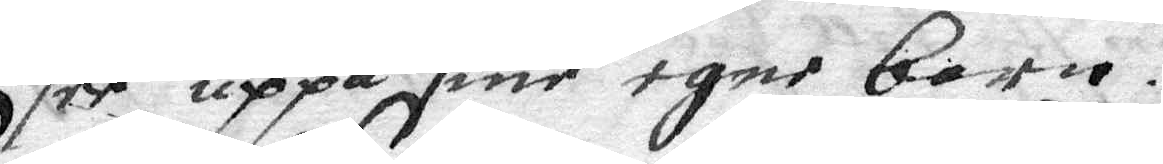see uppå sine egne barn.
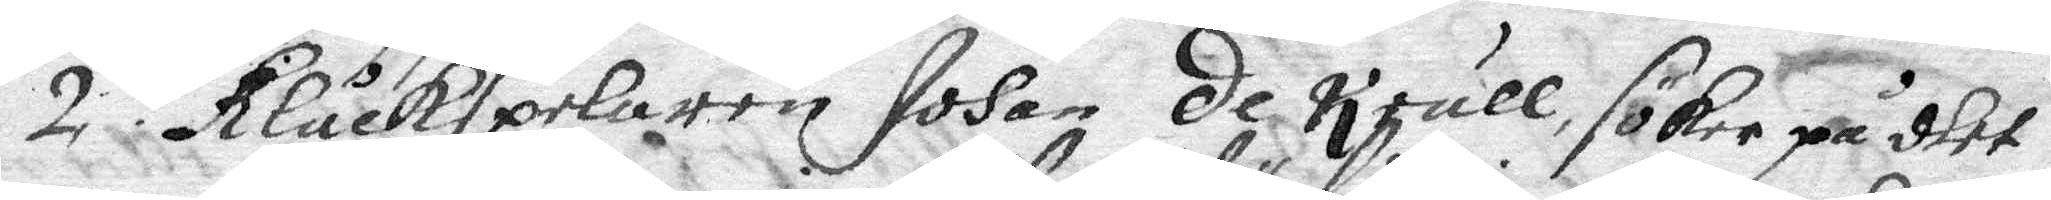2. Klåckspelaren Johan de Krull söker på dhet
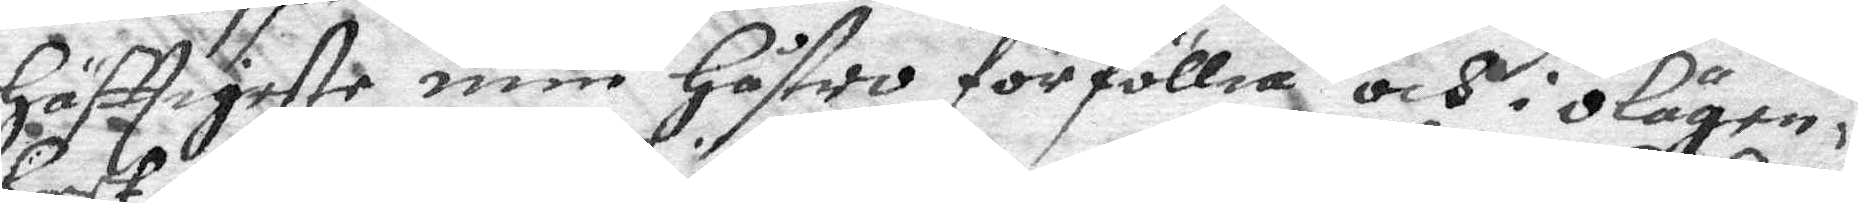häftigaste min hustro förföllia och i olägen¬
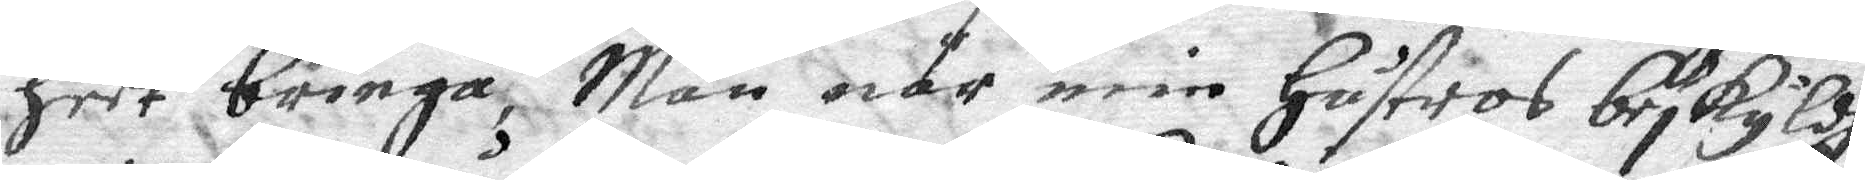heet bringa, Men när min hustros beskyldh¬
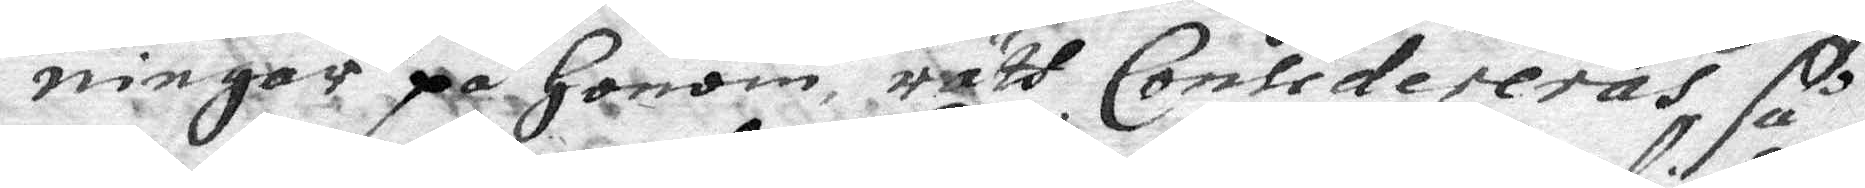ningar på honom rätt Considereras så
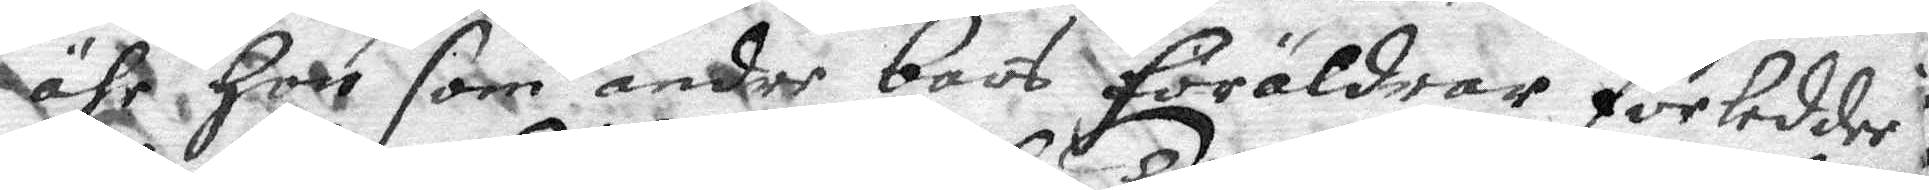ähr hon som andre bars föräldrar förledde
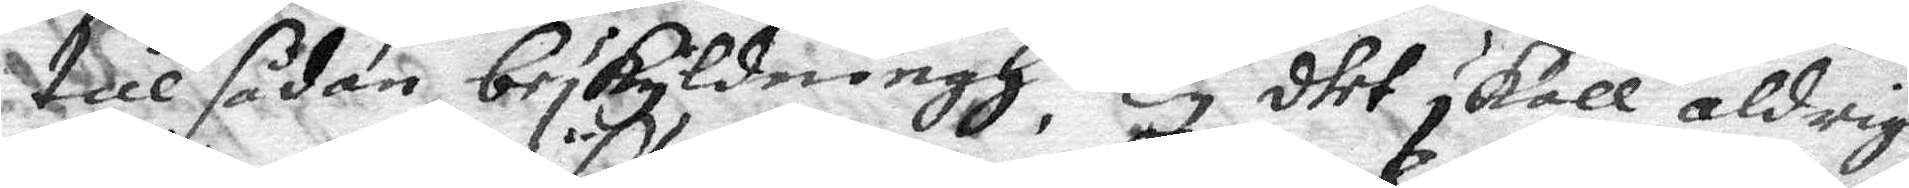till sådan beskyldningh. Ty dhet skall aldrig
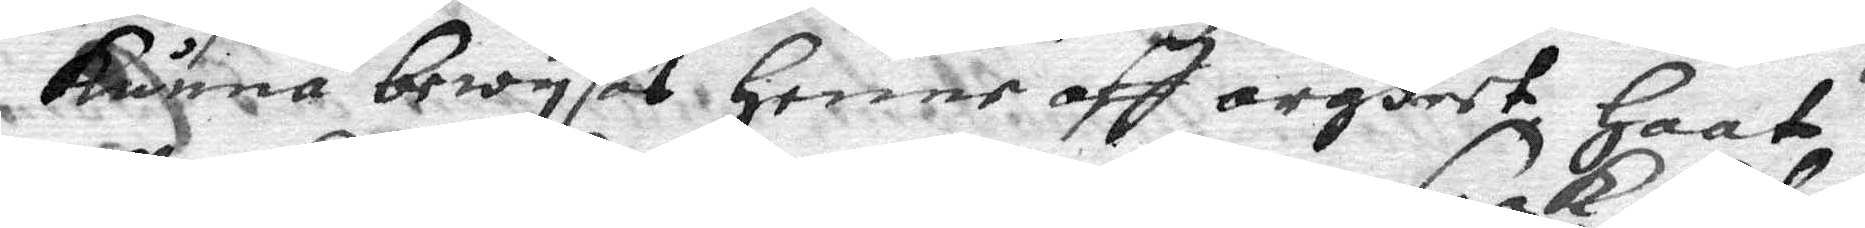kunna bewysas henne aff argheet haat
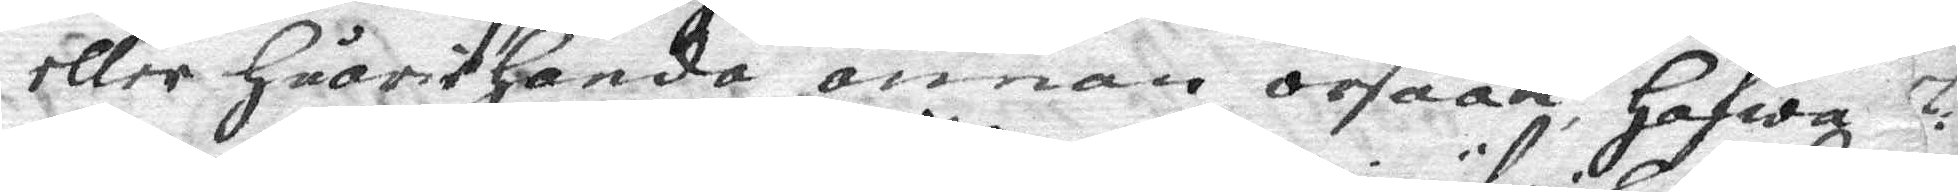eller huariehanda annan orsaak hafwa
